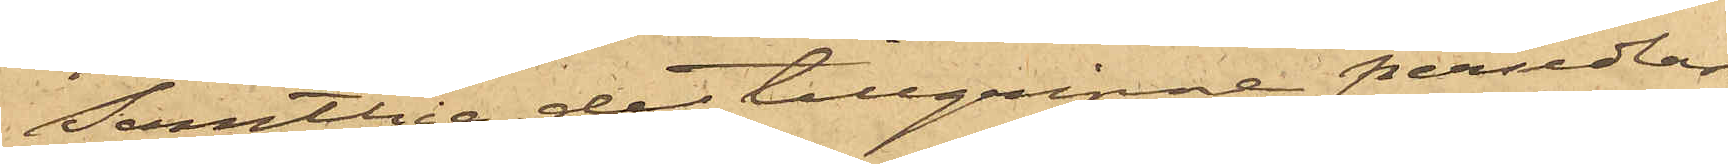Samtlige de tillgripne persedlar¬
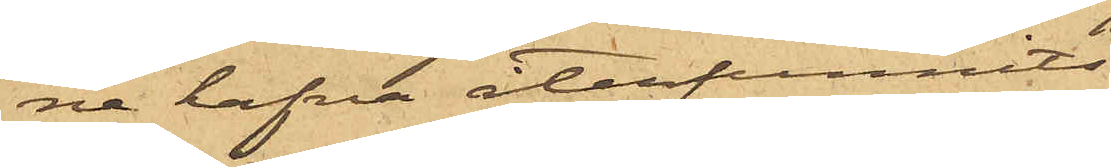ne hafva återfunnits
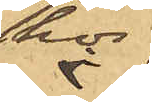hos
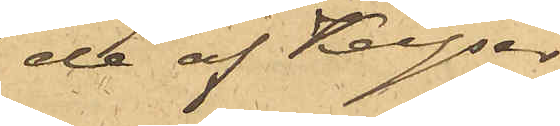de af Keyser
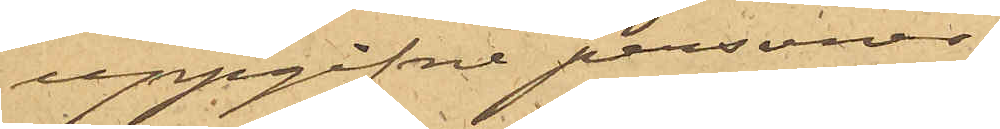uppgifne personer.
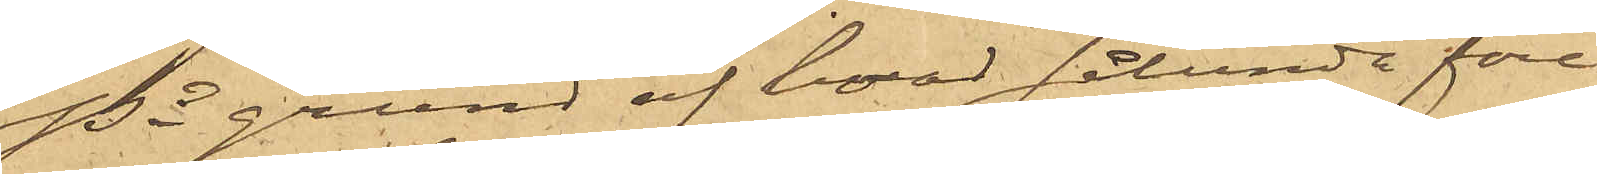På grund af hvad sålunda före¬
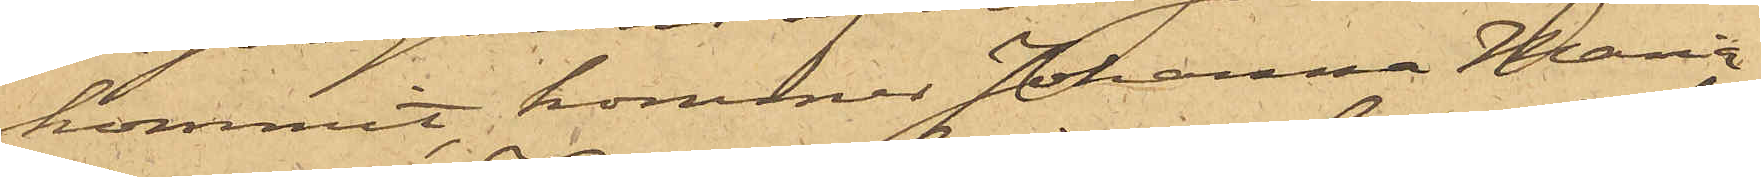kommit kommer Johanna Maria
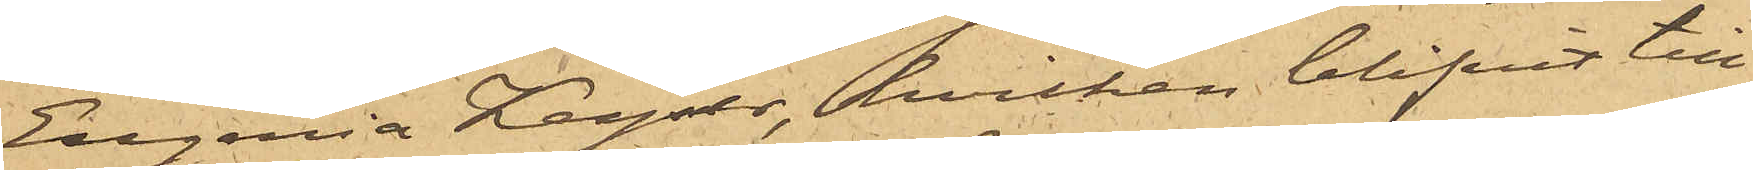Eugenia Keyser, hvilken blifvit till
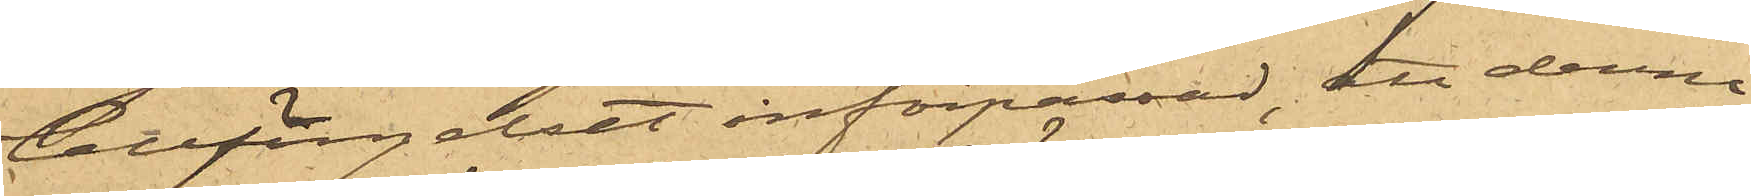Cellfängelset införpassad, att denna
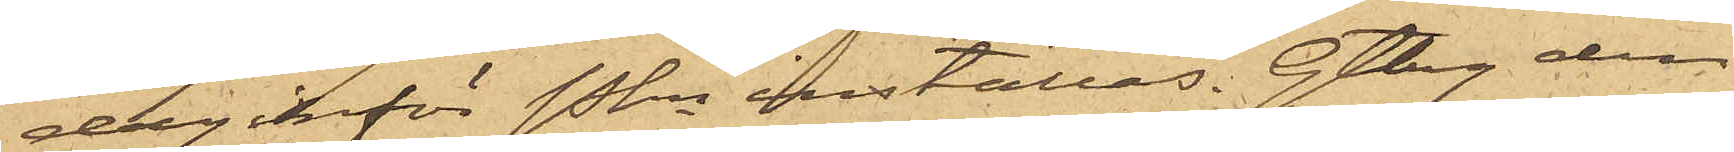dag inför Pkn inställas. Gtbg den
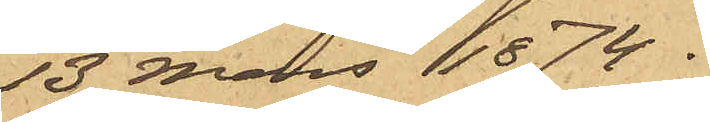13 Mars 1874.
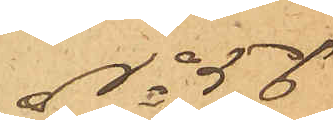No 56
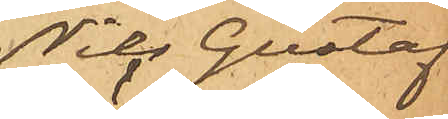Nils Gustaf
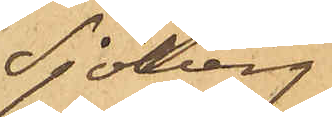Sjöberg
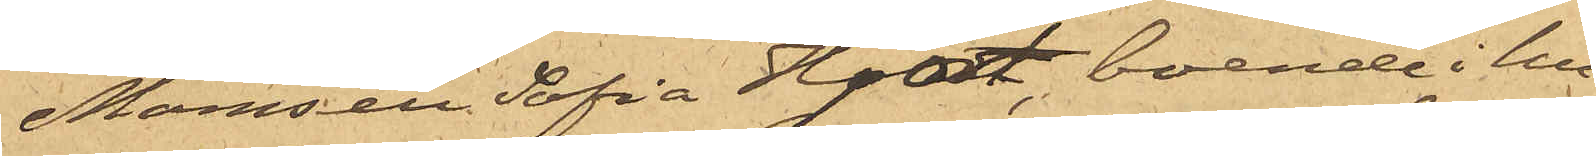Mamsell Sofia Hjort, boende i hu¬
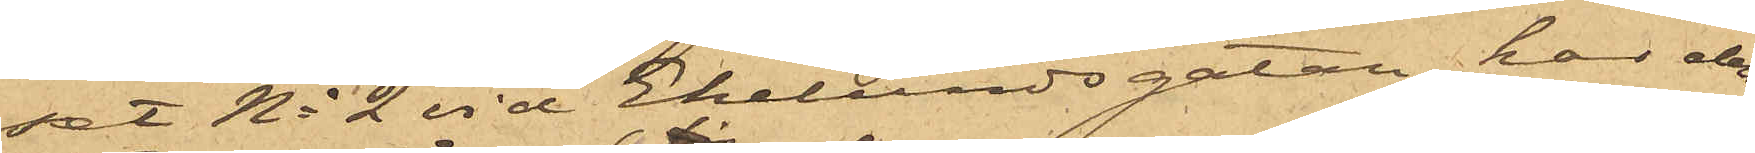set No 2 vid Ekelundsgatan, har den
